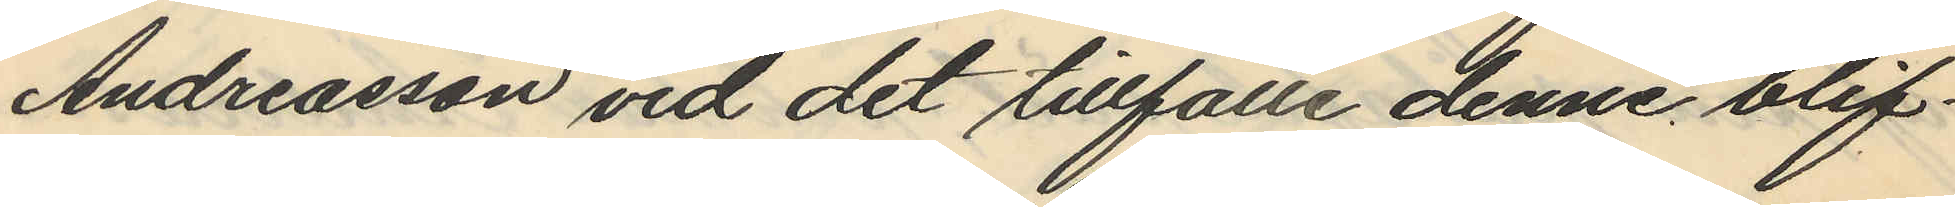Andreasson vid det tillfälle denne blif¬
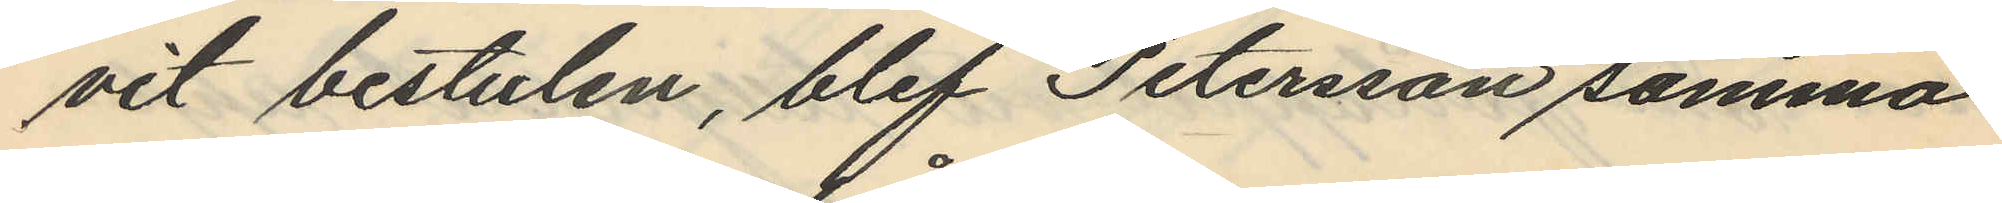vit bestulen, blef Petersson samma
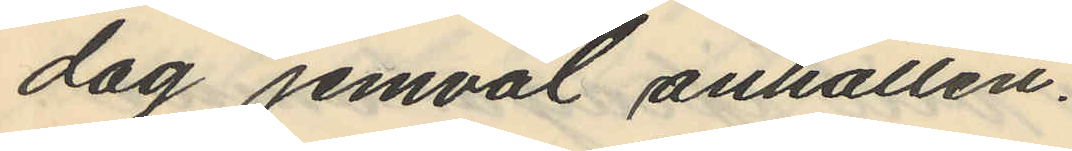dag jemväl anhållen.
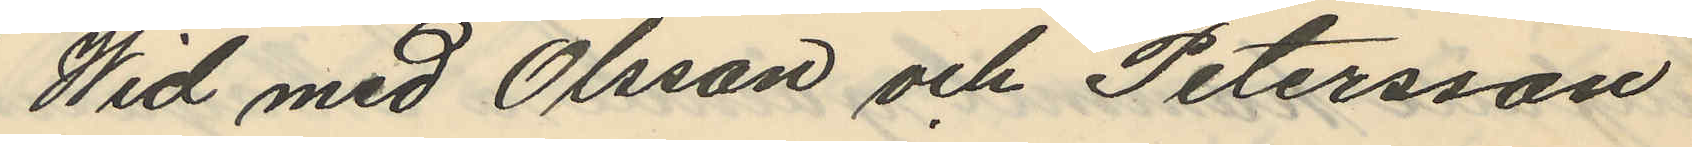Wid med Olsson och Petersson
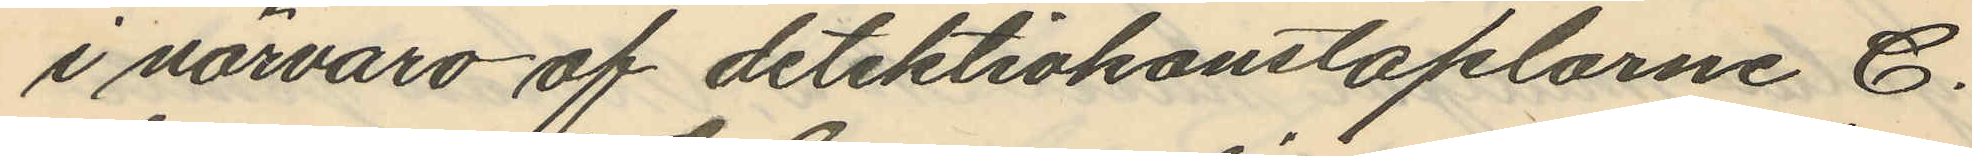i närvaro af detektivkonstaplarne C.
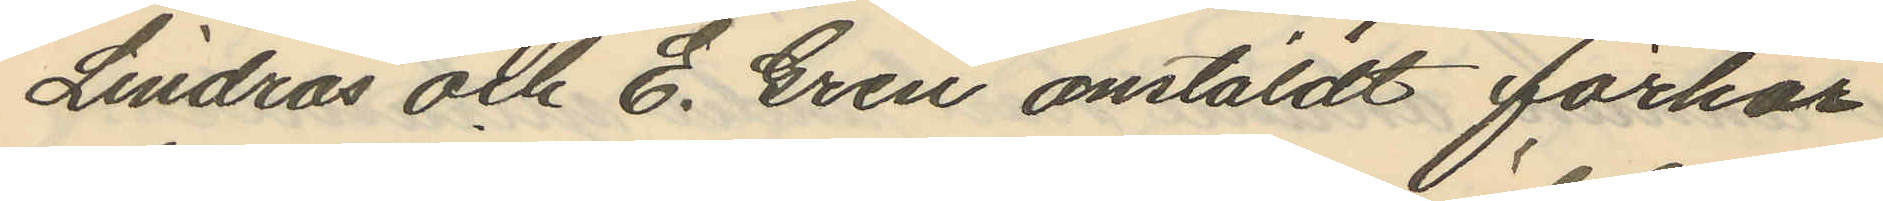Lindros och E. Gren anstäldt förhör
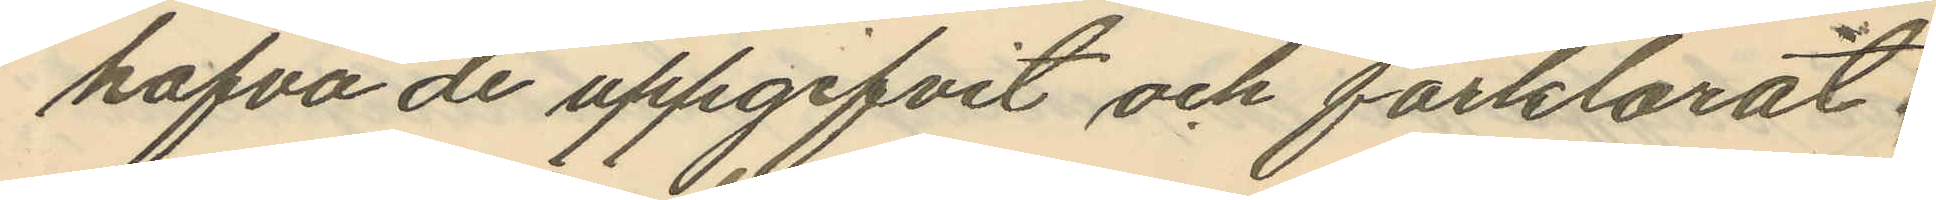hafva de uppgifvit och förklarat:
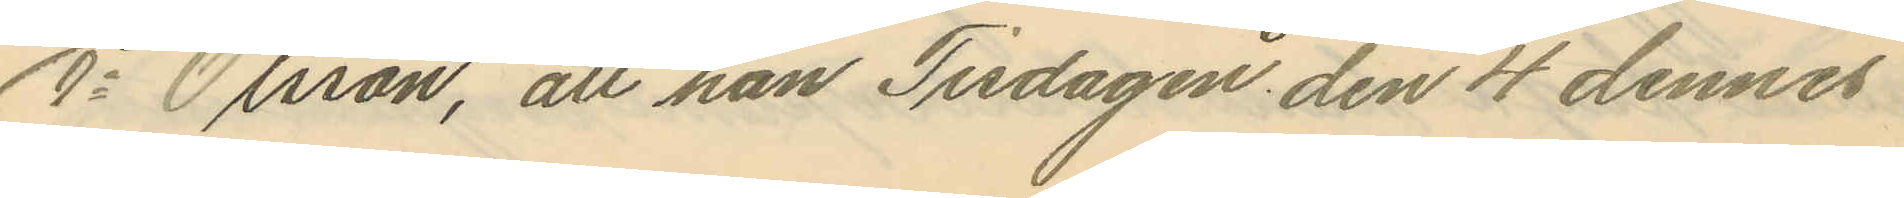1o Olsson, att han Tisdagen den 4 dennes
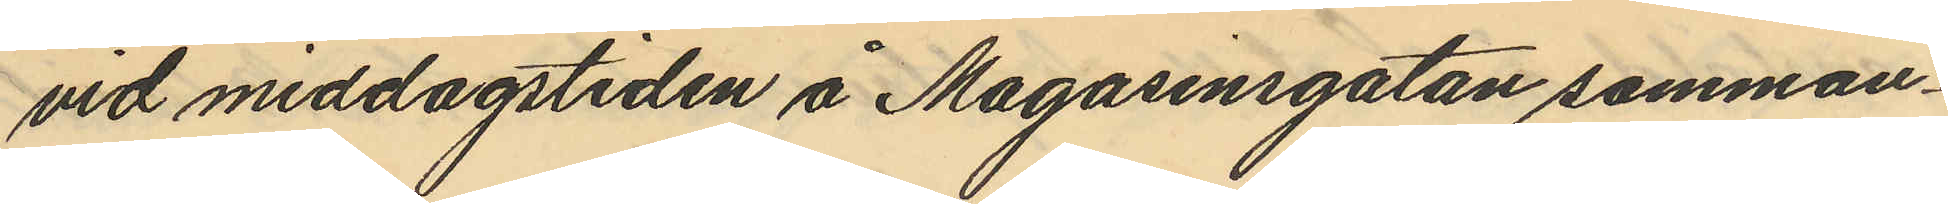vid middagstiden å Magasinsgatan samman¬
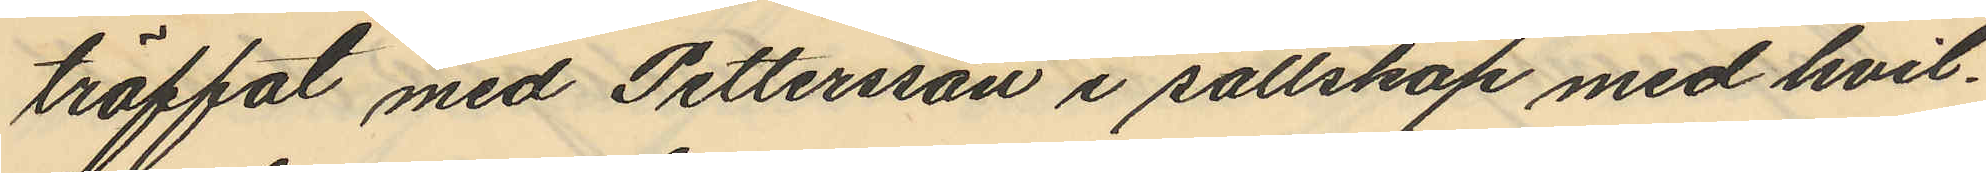träffat med Pettersson i sällskap med hvil¬
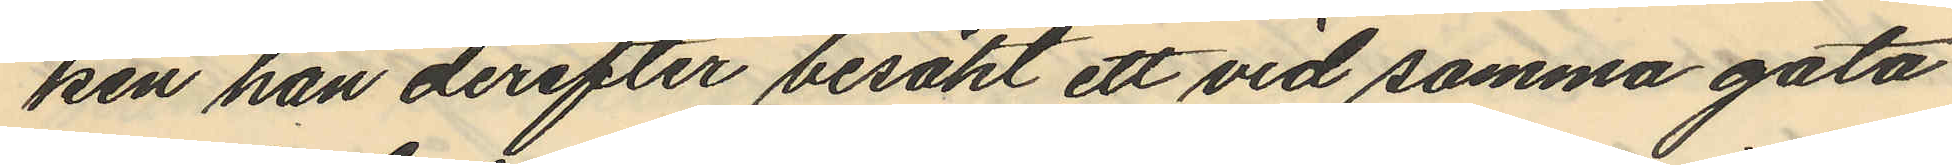ken han derefter besökt ett vid samma gata
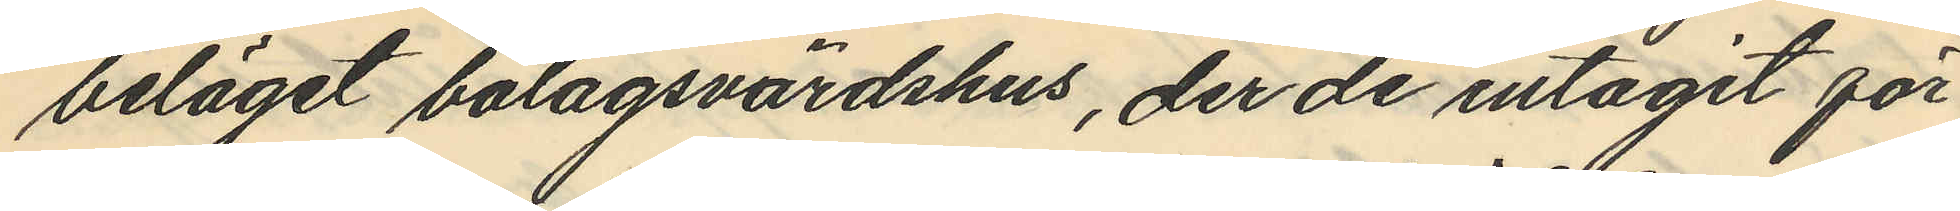beläget bolagsvärdshus, der de intagit för
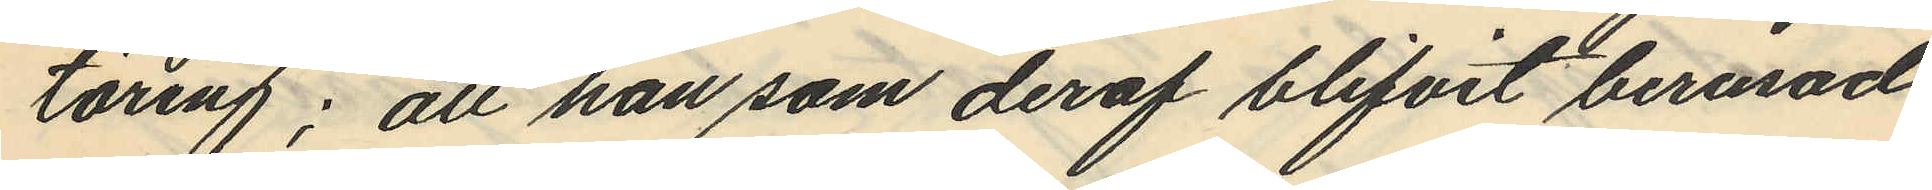täring; att han som deraf blifvit berusad
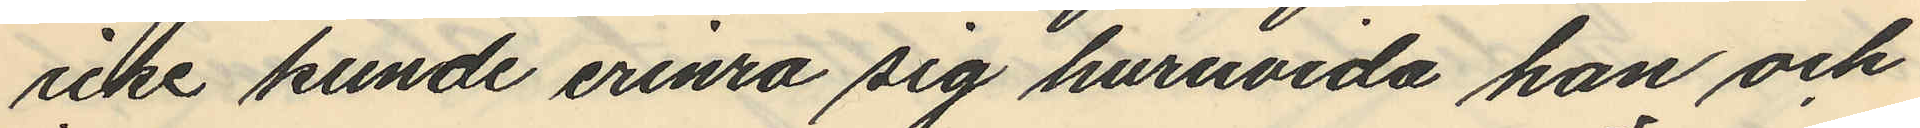icke kunde erinra sig huruvida han och
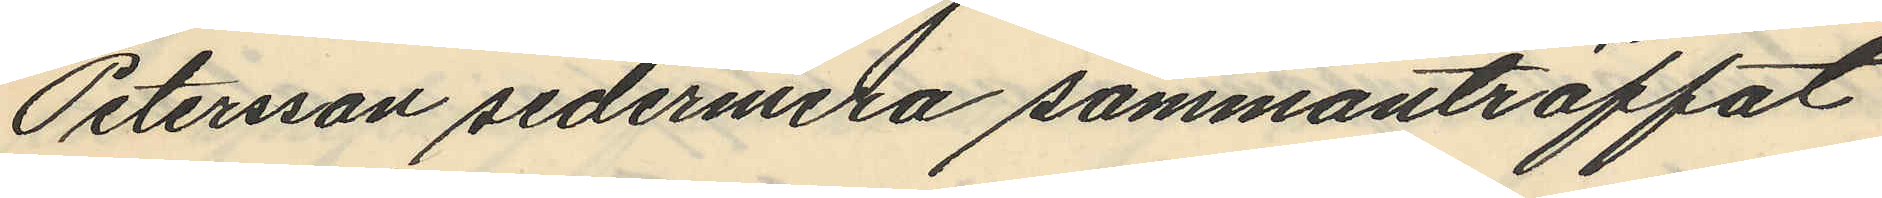Petersson sedermera sammanträffat
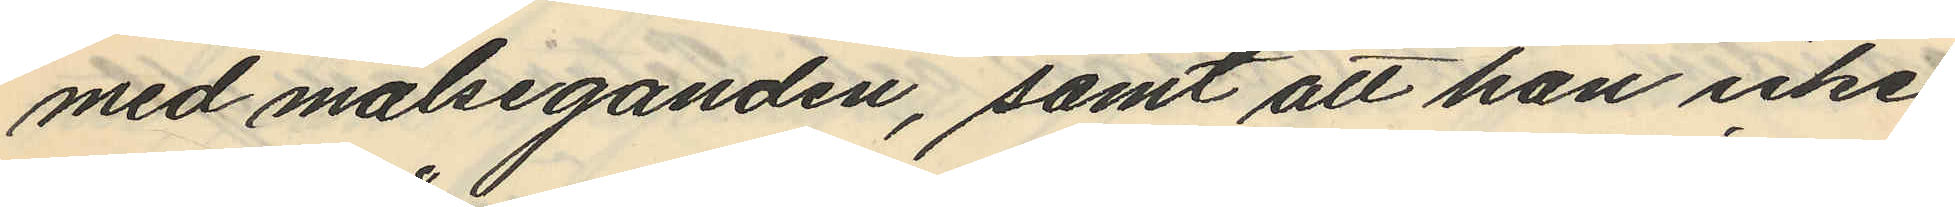med målseganden, samt att han icke
